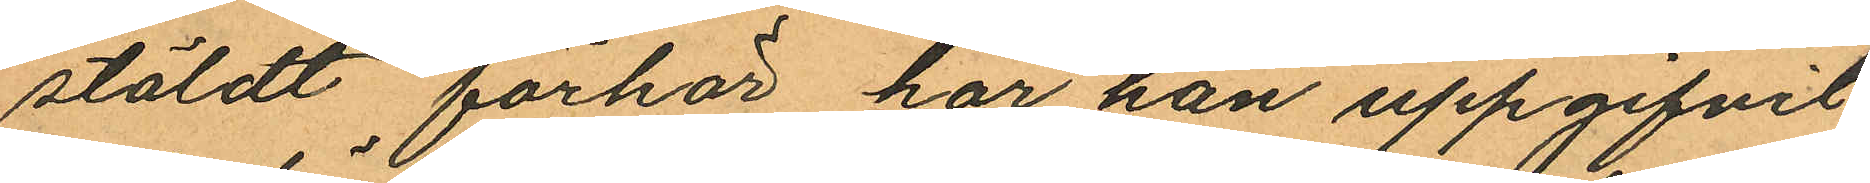stäldt förhör har han uppgifvit
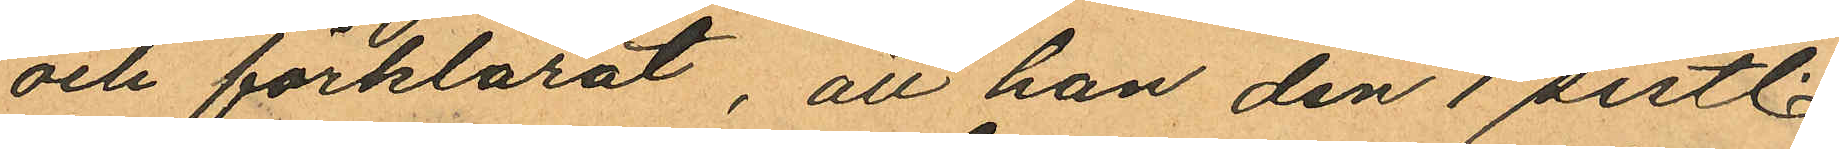och förklarat, att han den 1 sistl.
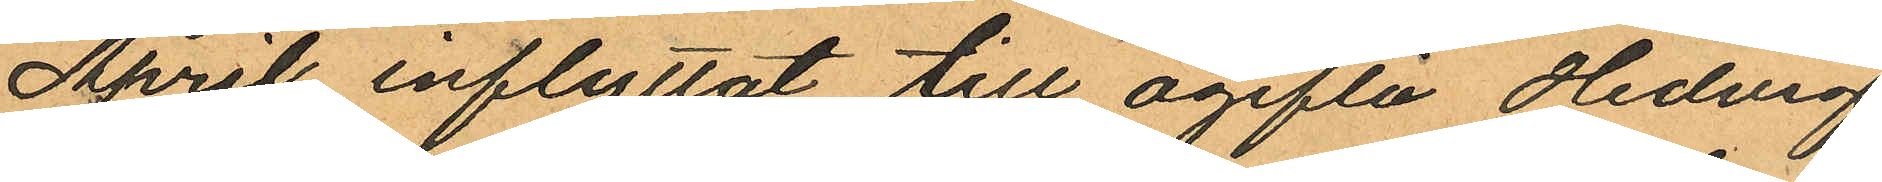April inflyttat till ogifta Hedvig
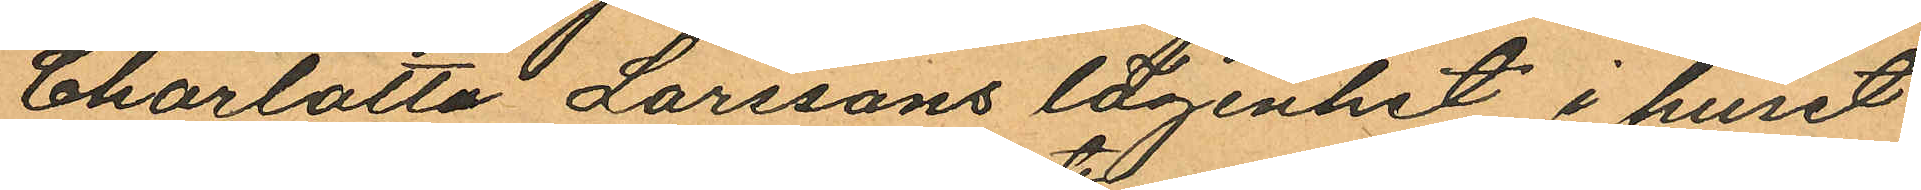Charlotta Larssons lägenhet i huset
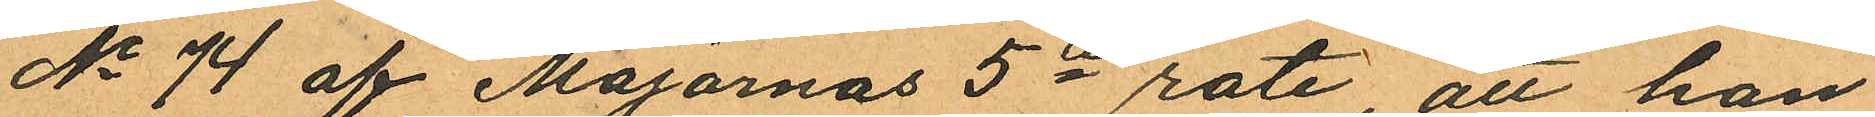No 74 af Majornas 5te rote, att han
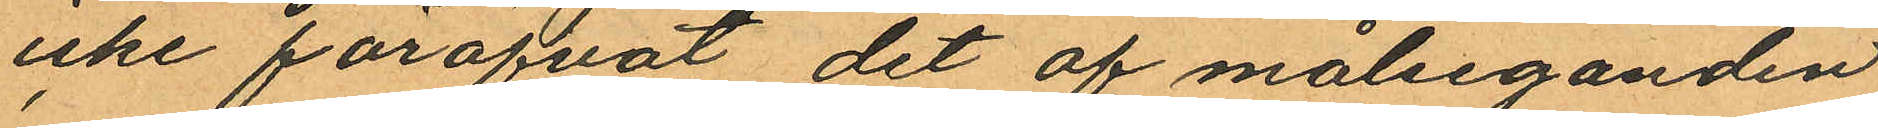icke föröfvat det af målseganden
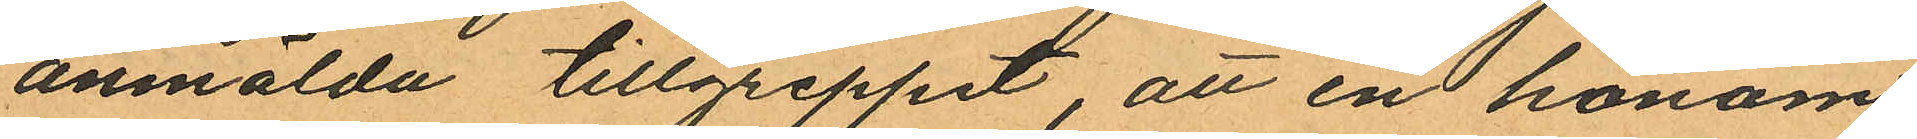anmälda tillgreppet, att en honom
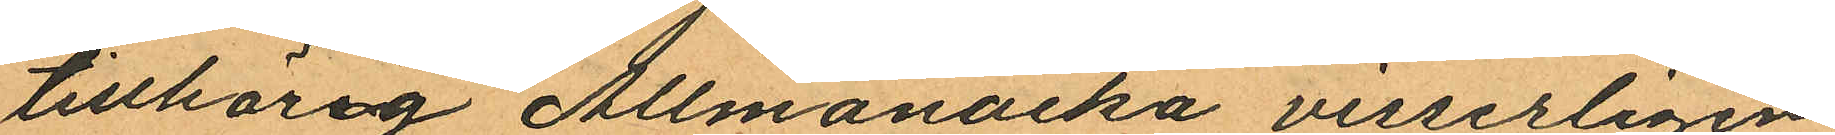tillhörig Allmanacka visserligen
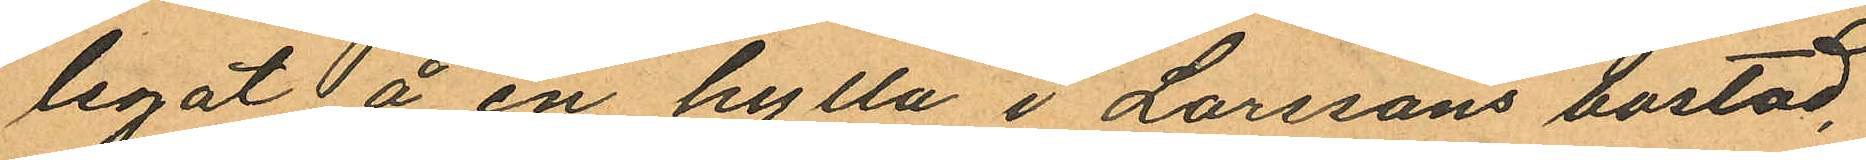legat å en hylla i Larssons bostad,
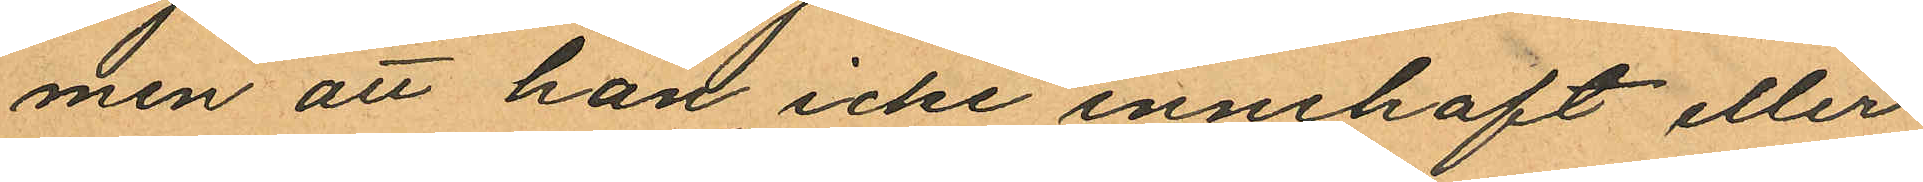men att han icke innehaft eller
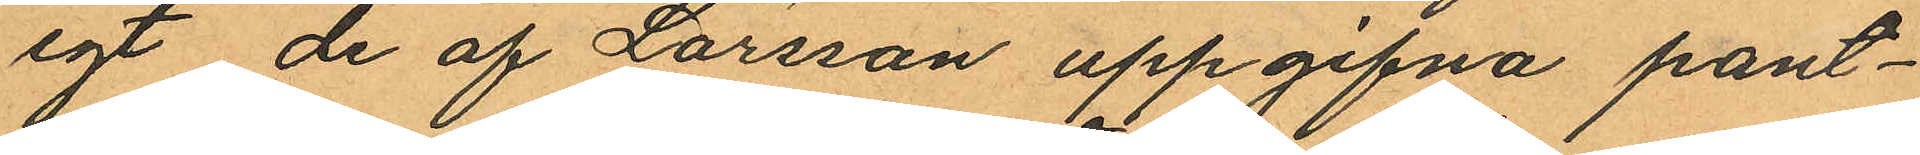egt de af Larsson uppgifna pant¬
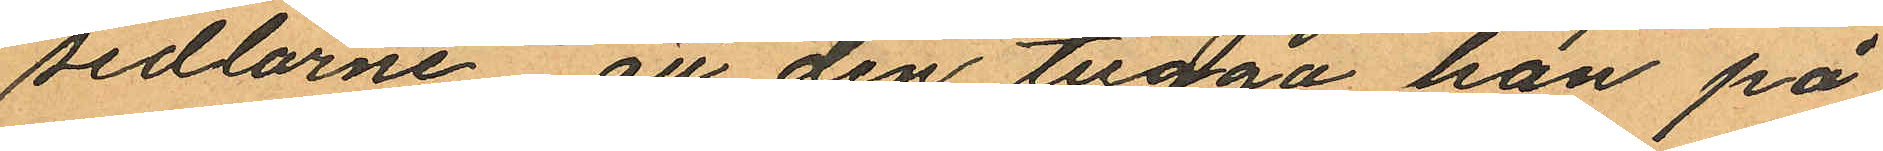sedlarne att den tugga han på
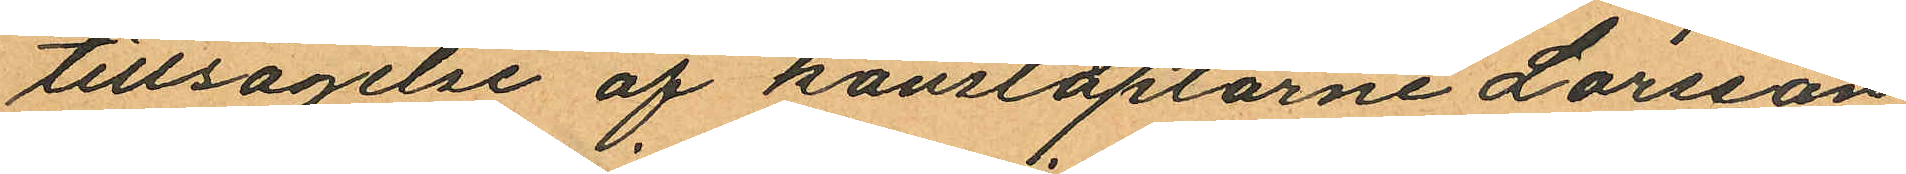tillsägelse af konstaplarne Larsson
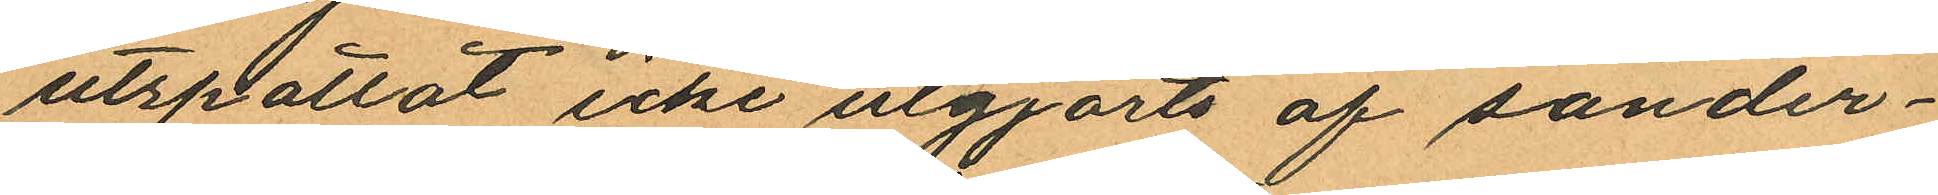utspottat icke utgjorts af sönder¬
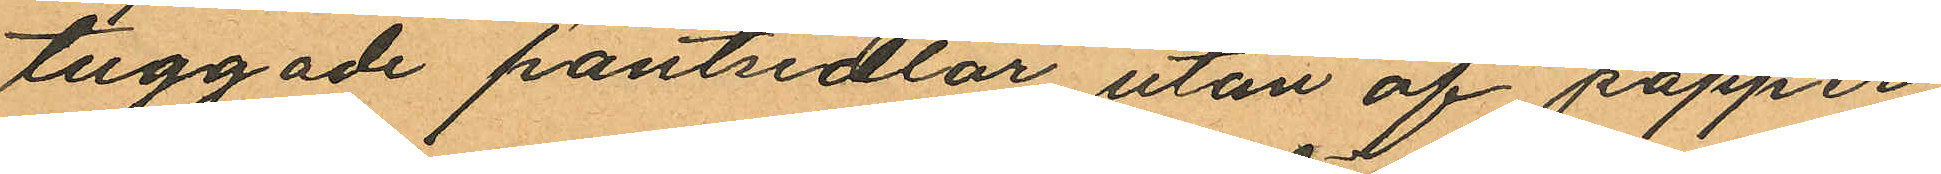tuggade pantsedlar utan af papper
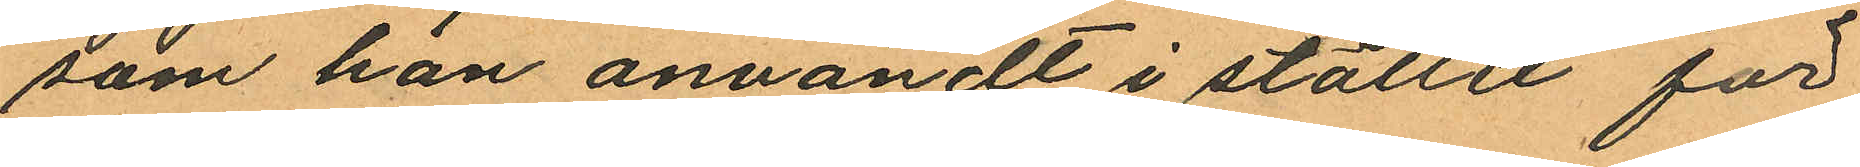som han användt i stället för
